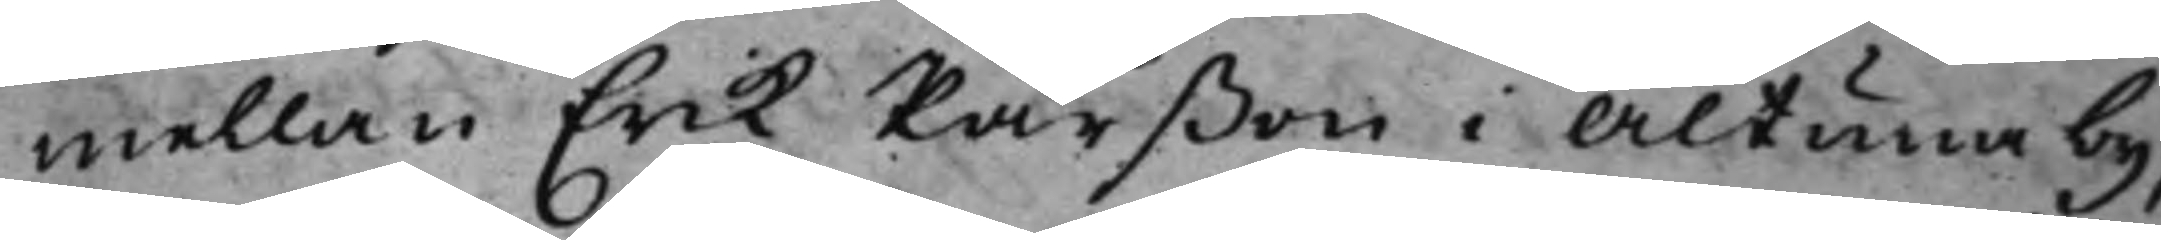mellan Erik Pärßon i Altuna by,
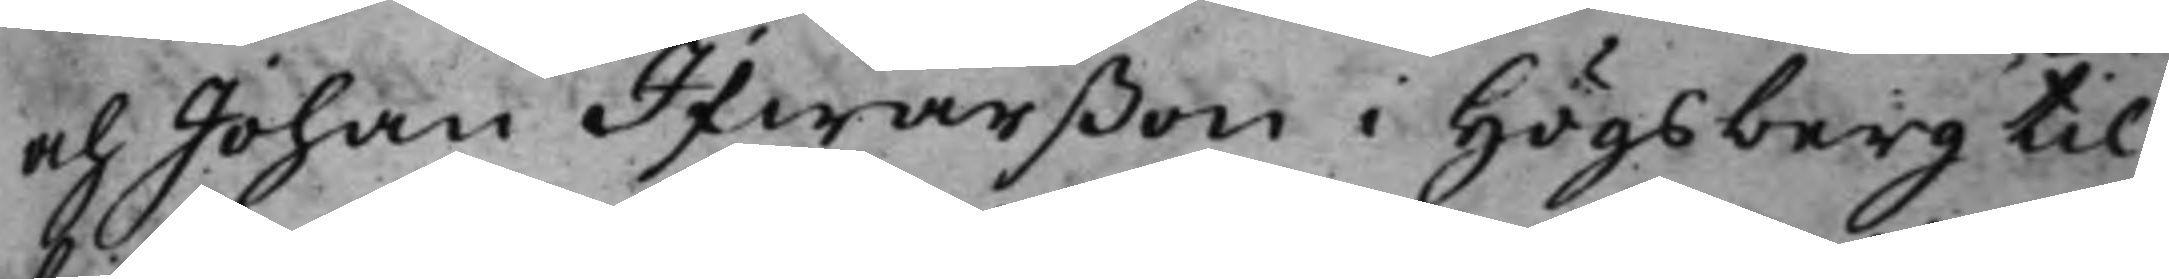och Johan Ifwarßon i Högsberg til¬
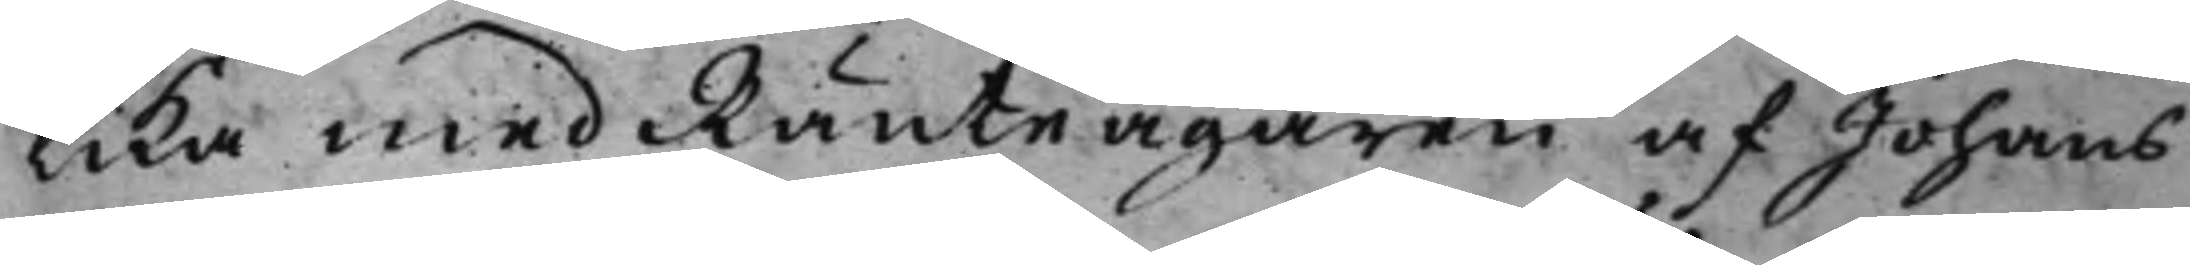lika med Ränteägaren af Johans
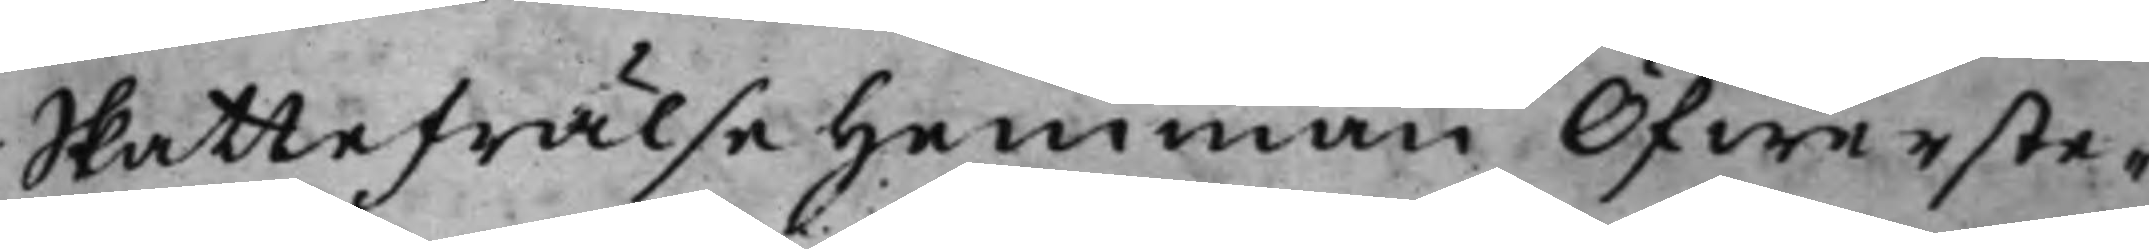Skattefrälsehemman Öfwerste¬
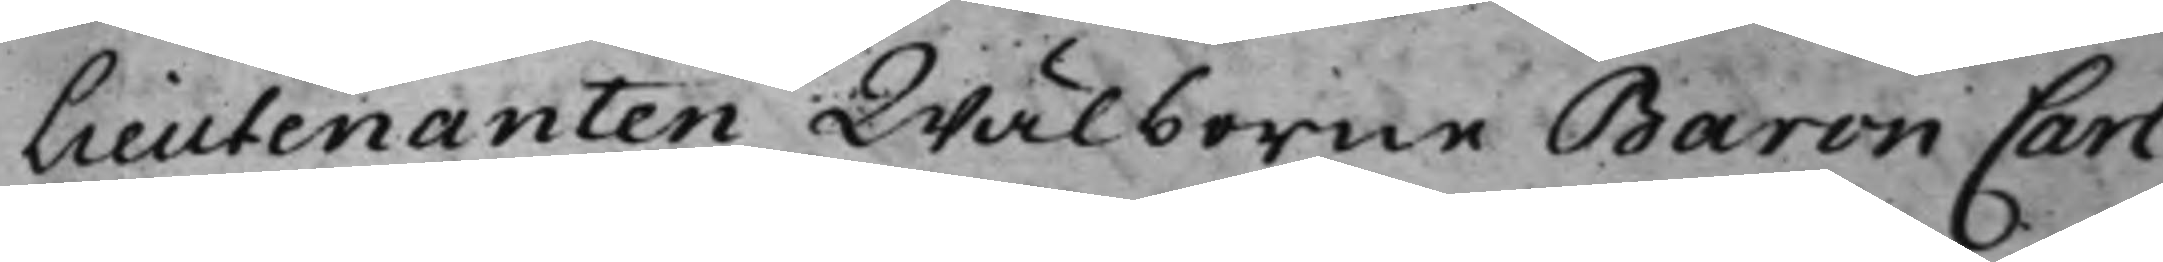Lieutenanten Wälborne Baron Carl
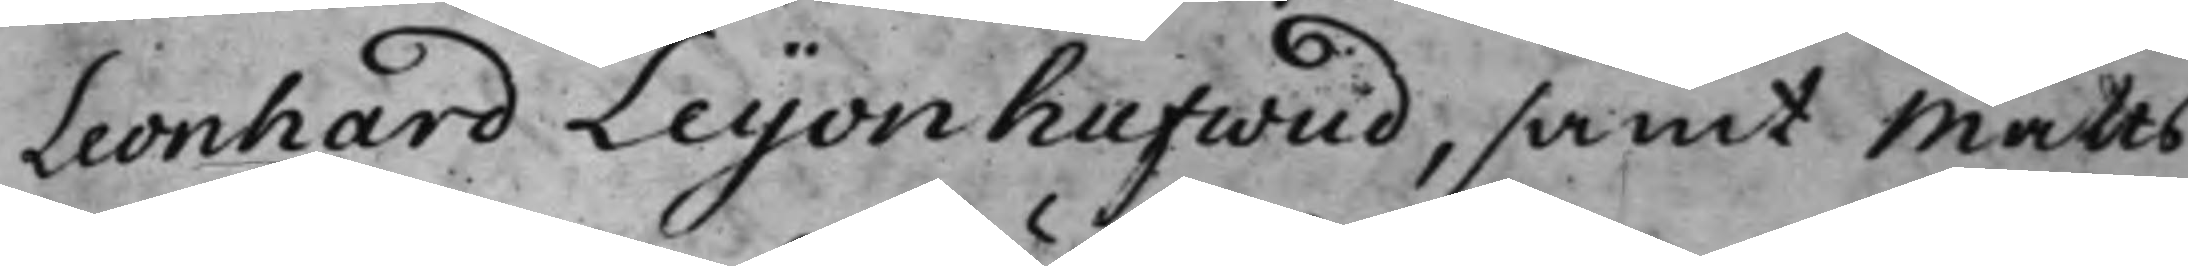Leonhard Leijonhufwud, samt Matts
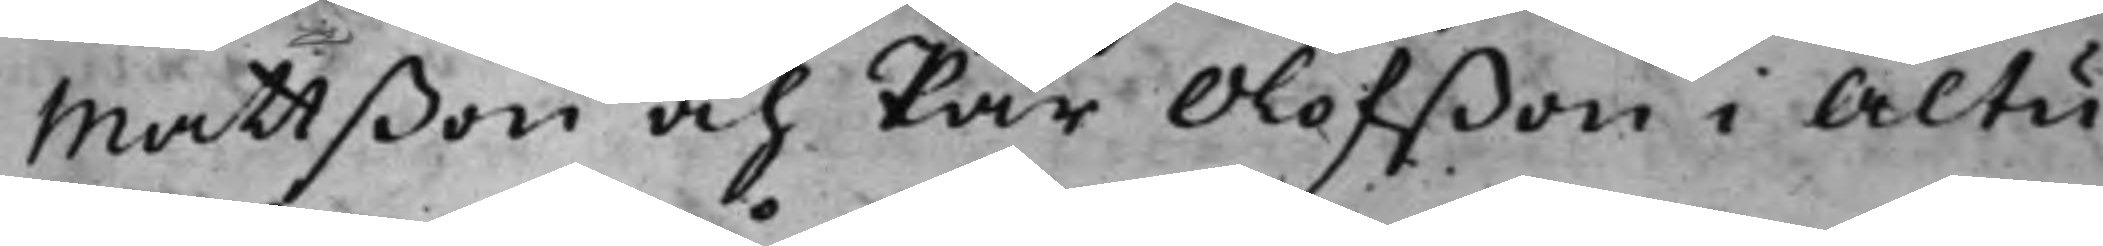Mattßon och Pär Olofßon i Altu¬
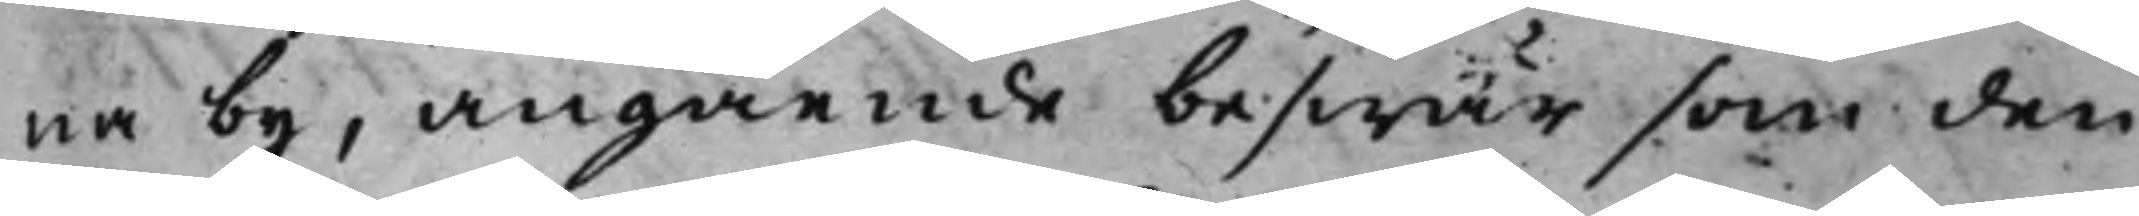na by, angående beswär som den
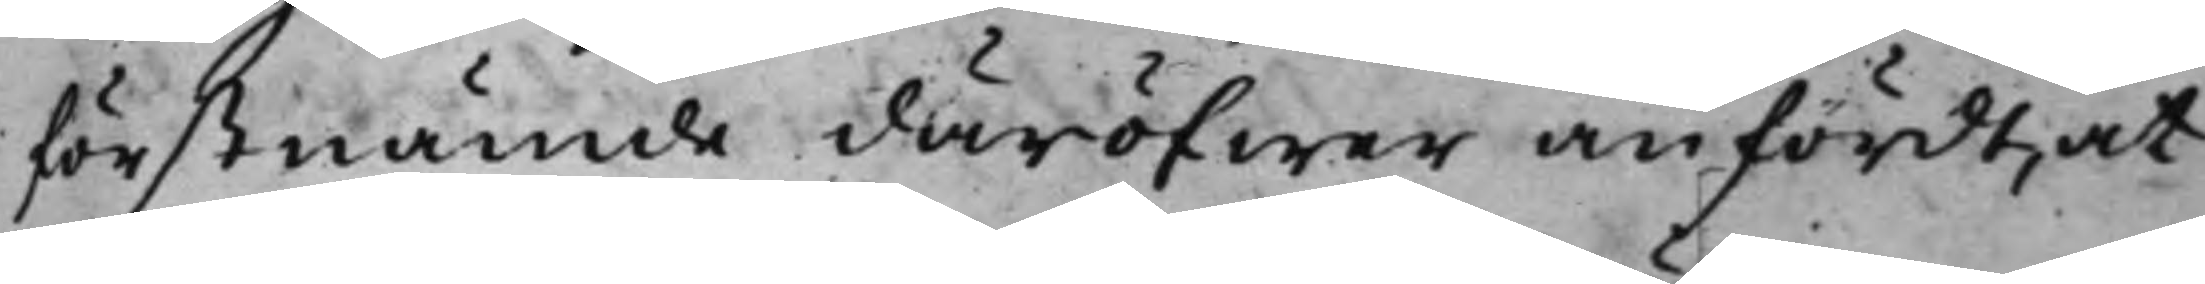förstnämde däröfwer anfördt, at
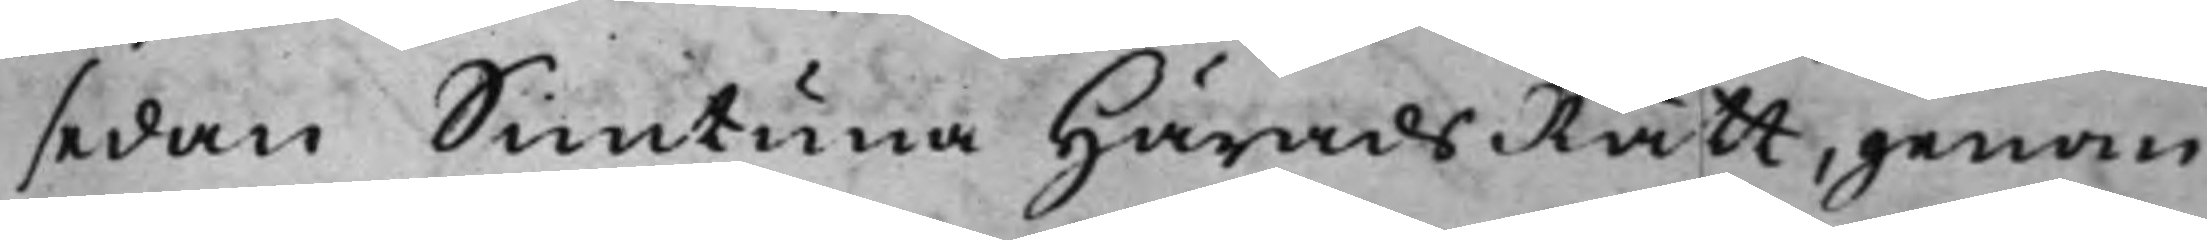sedan Simtuna HäradsRätt, genom
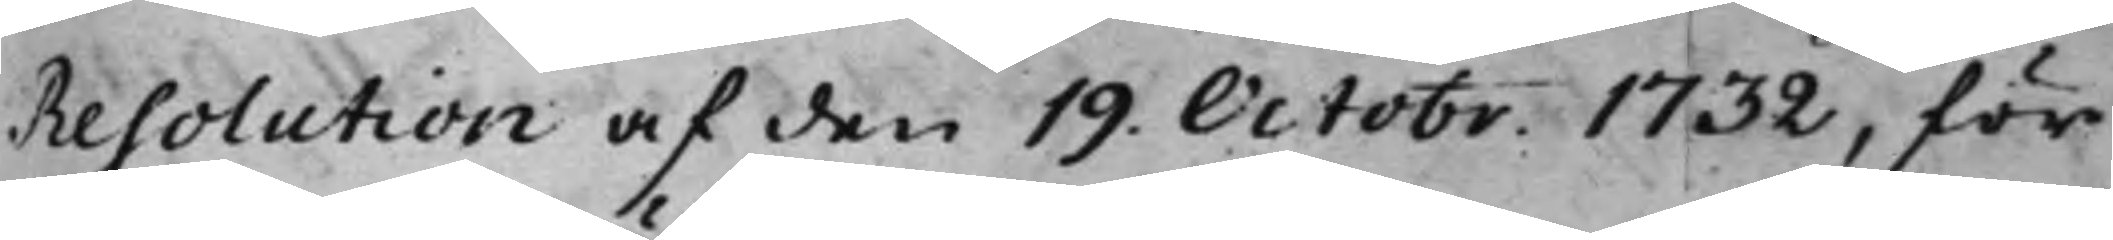Resolution af den 19. Octobr. 1732, för
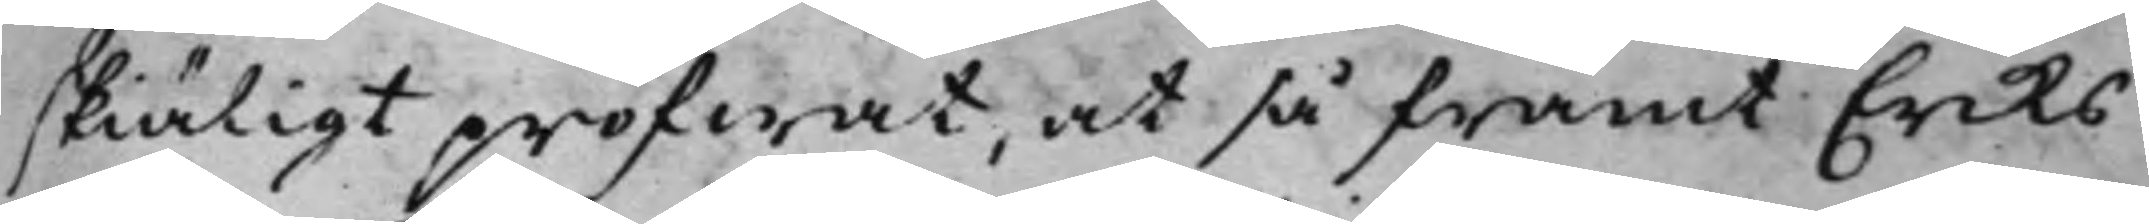skiäligt pröfwat, at så framt Eriks
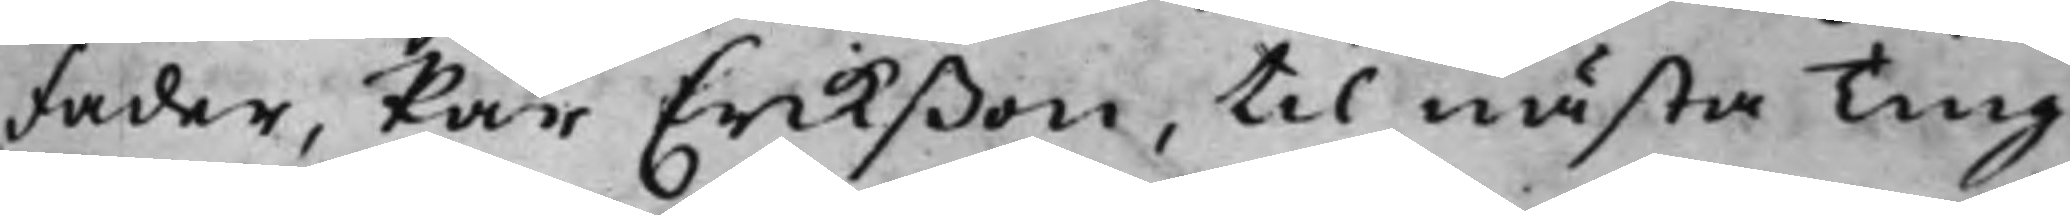Fader, Par Erikßon, till nästa Ting
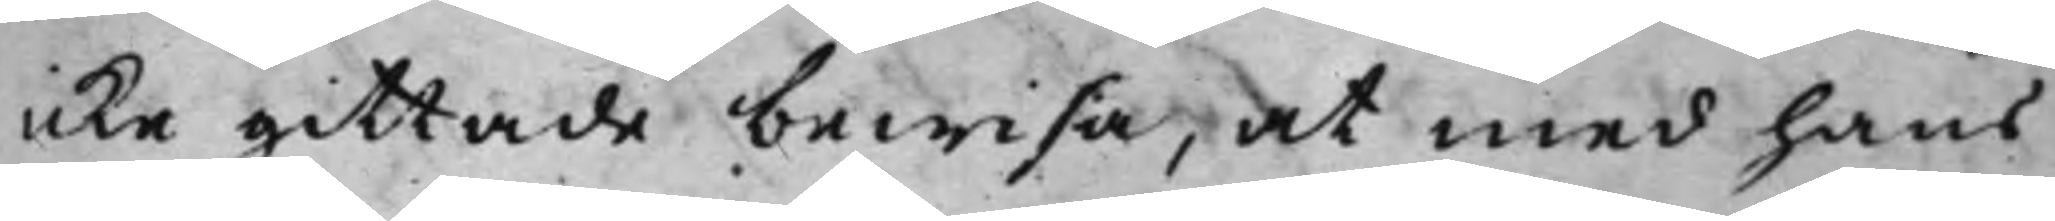icke gittade bewisa, at med hans
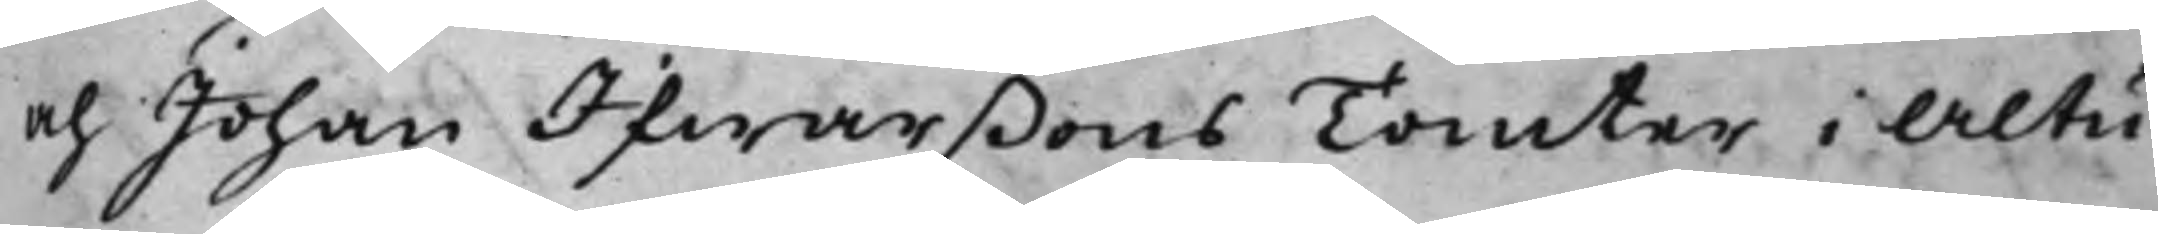och Johan Ifwarßons Tomter i Altu¬
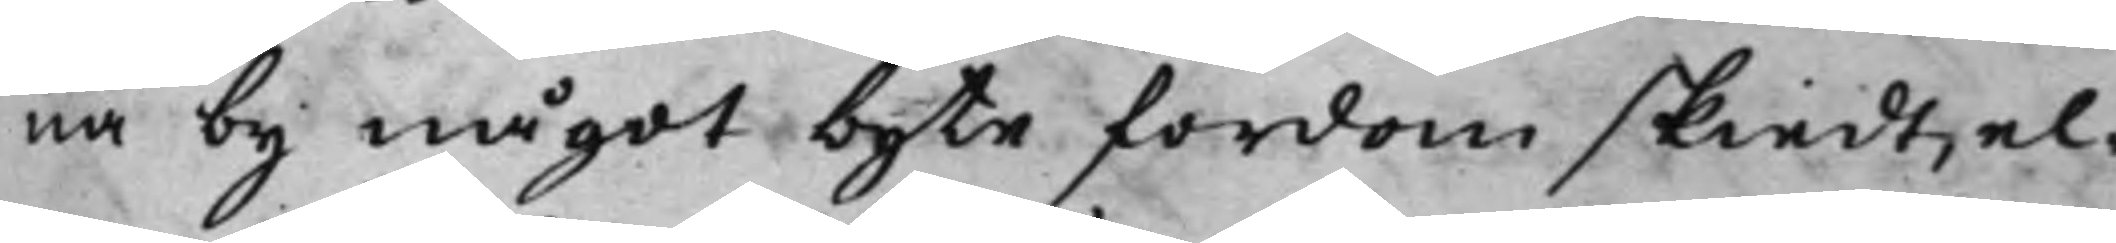na by något byte fordom skiedt, el¬
